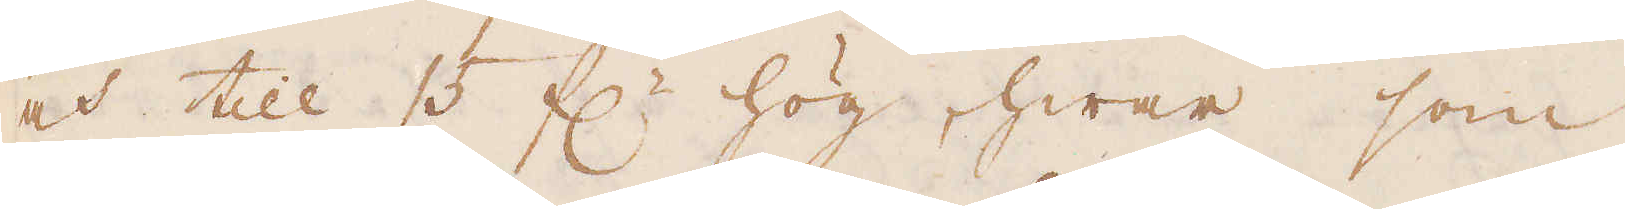och till 15 f:r hög, hwar som
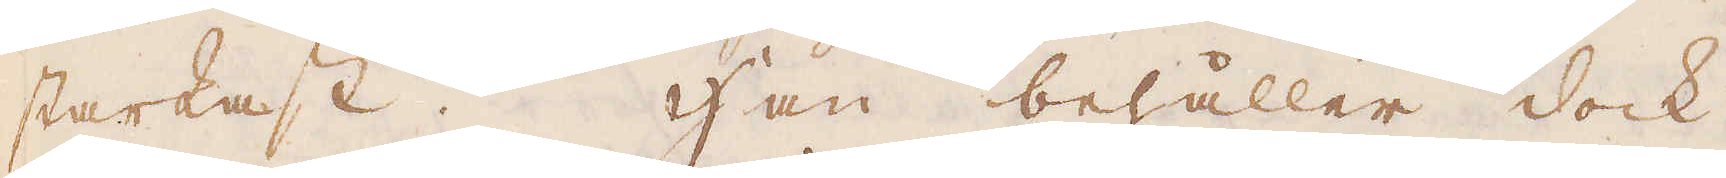starkast. Han behåller dock
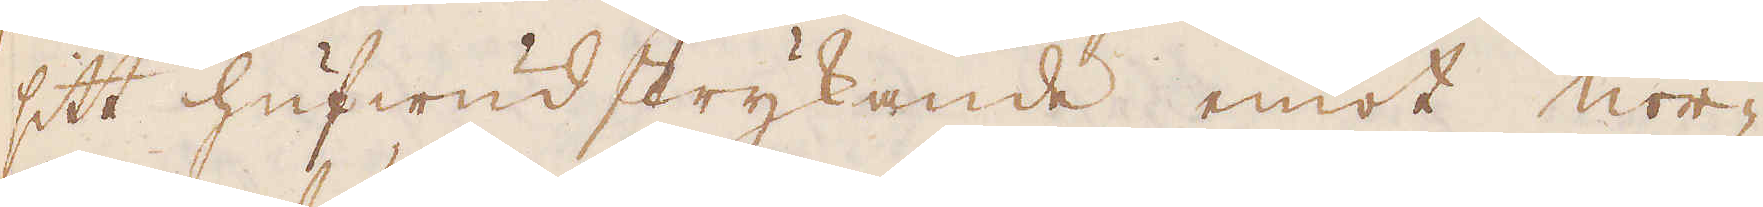sitt hufwudstrykande emot nor-
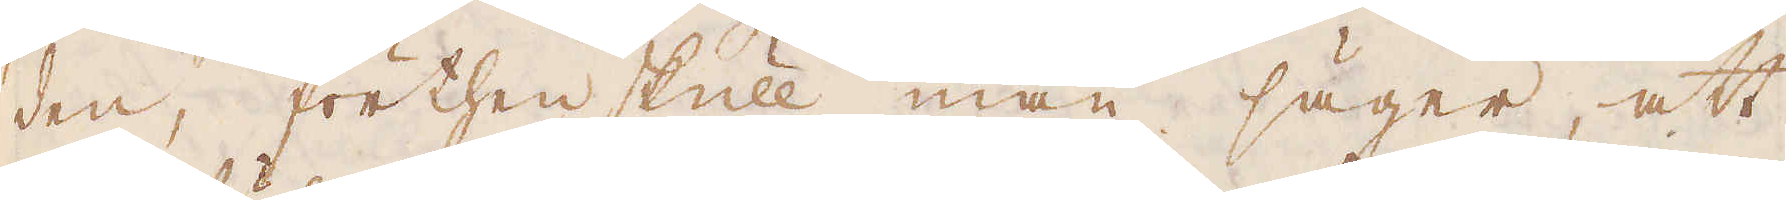den, förthenskull man säger, att
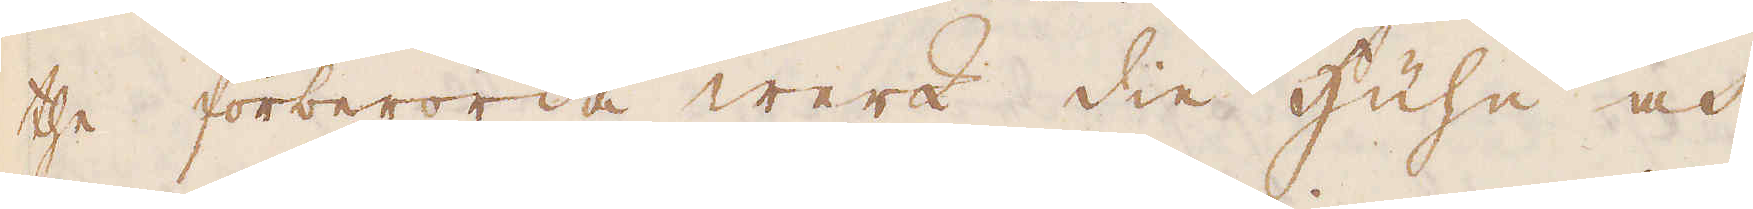the förberörda werk die Huhe och
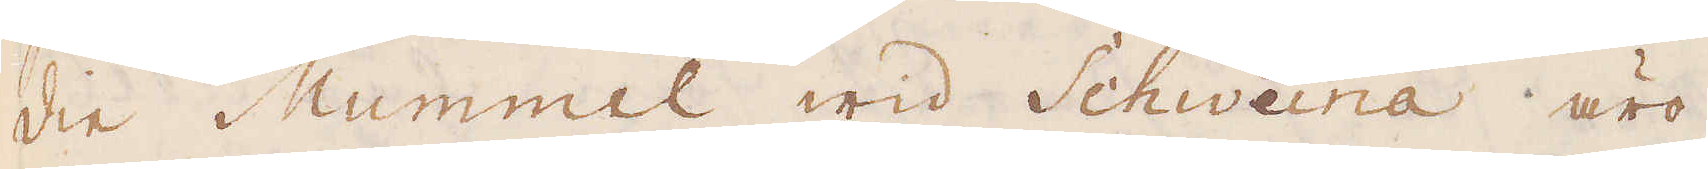die Mummel wid Schweina äro
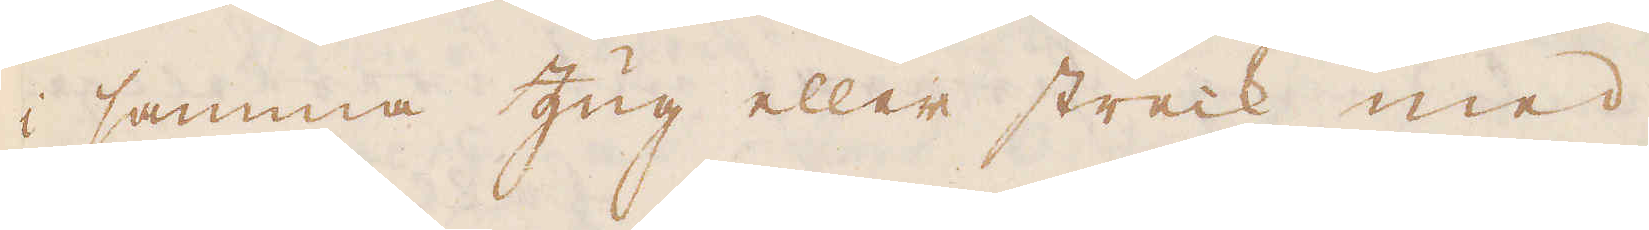i samma Zug eller streck med
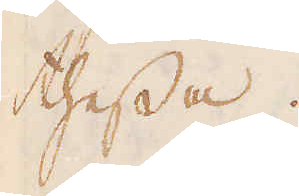thessa.
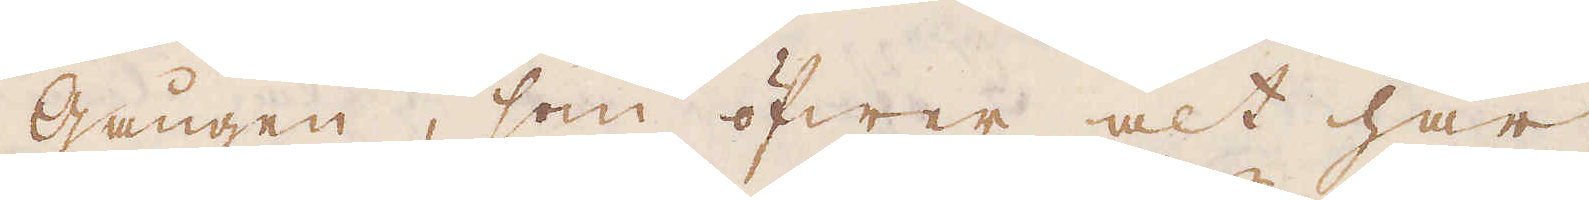Gången, som öfwer alt har
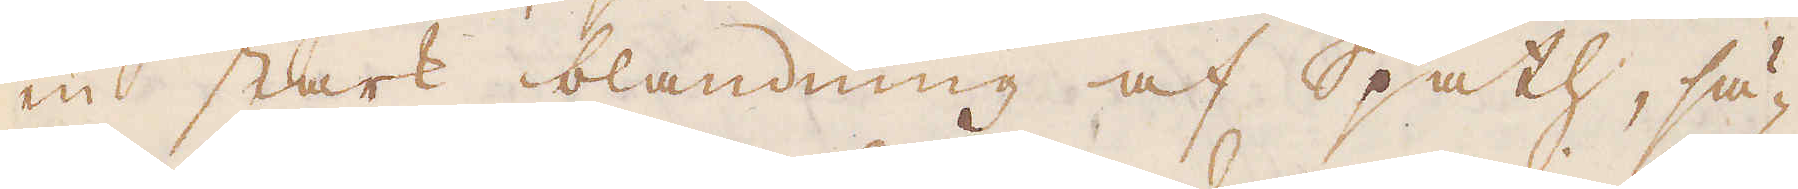en stark blandning af Spath, sä-
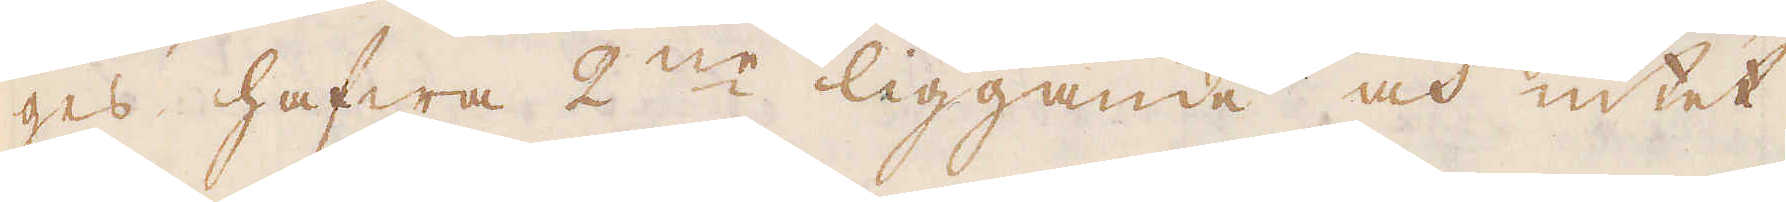ges hafwa 2:ne liggande och intet
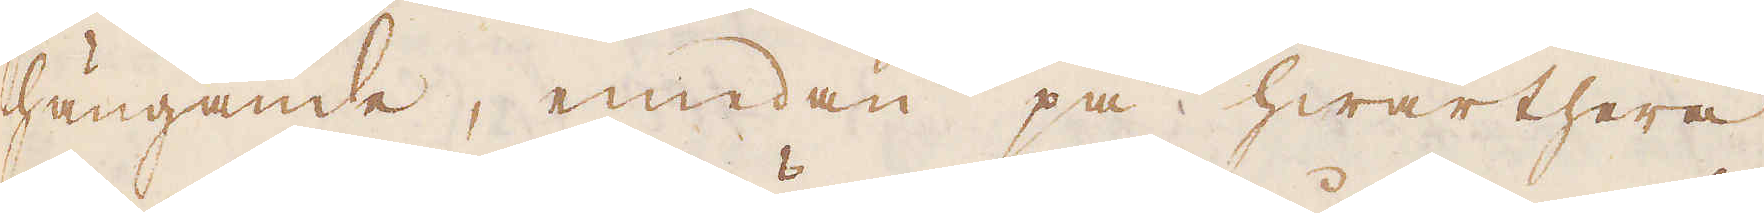hängande, emedan på hwarthera
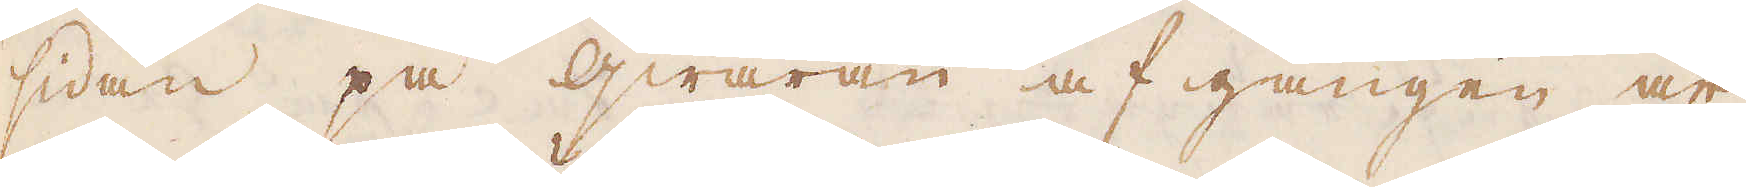sidan på qwäran af gången är
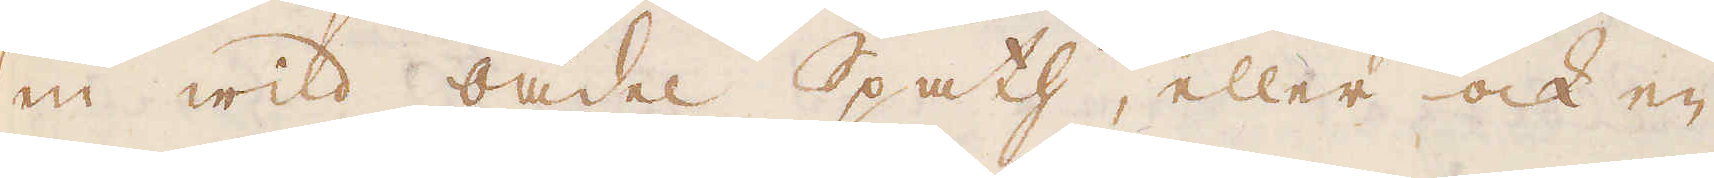en wild oädel Spath, eller ock en
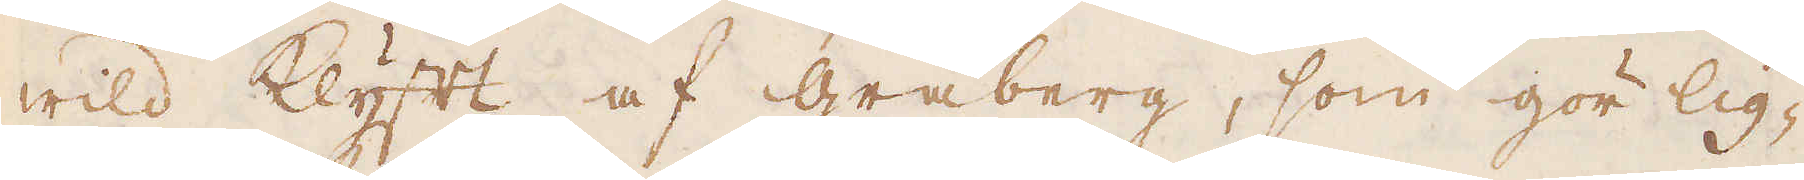wild Klyft af gråberg, som gör lig-
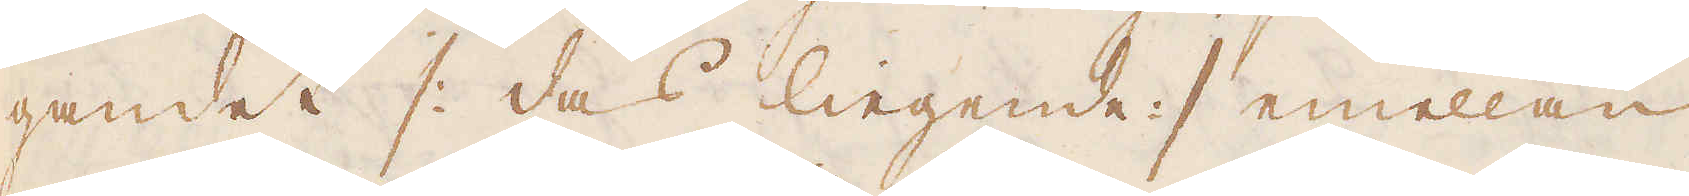gandet /: das liegende :/ emellan
